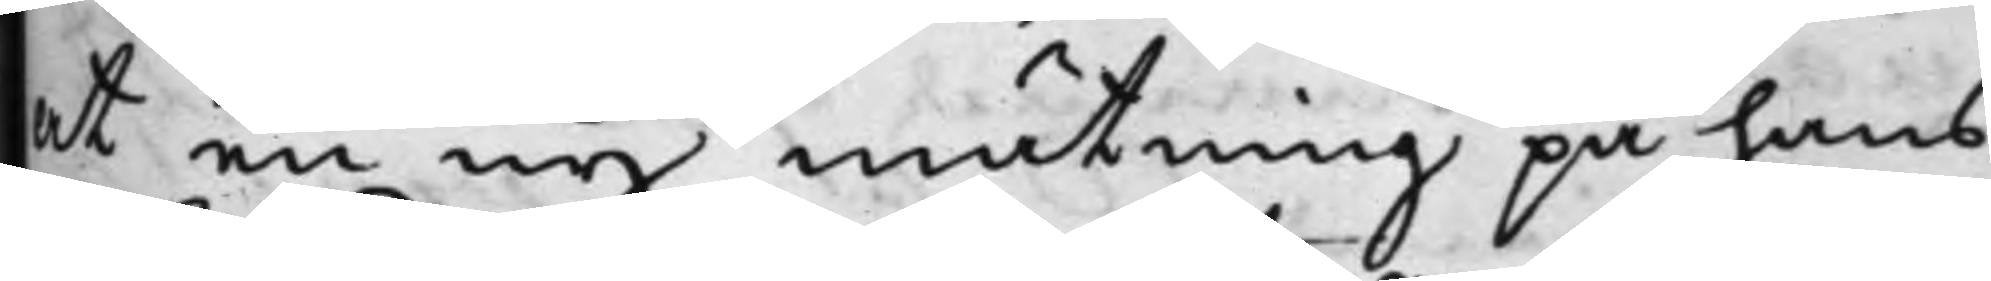at en ny måtning på hans
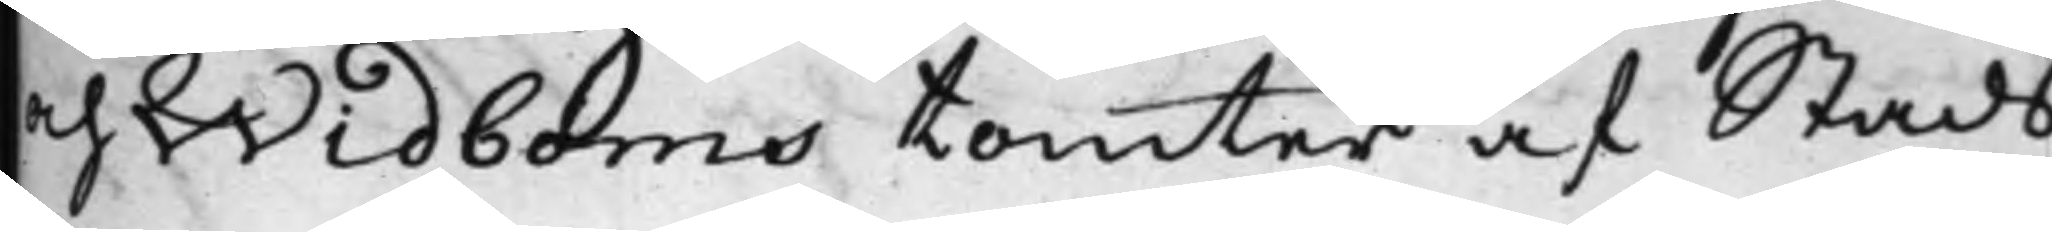och Widboms tomter af Stads
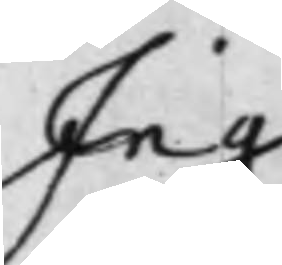Ing:
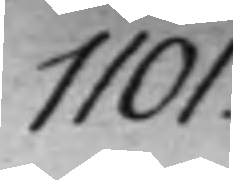1101.
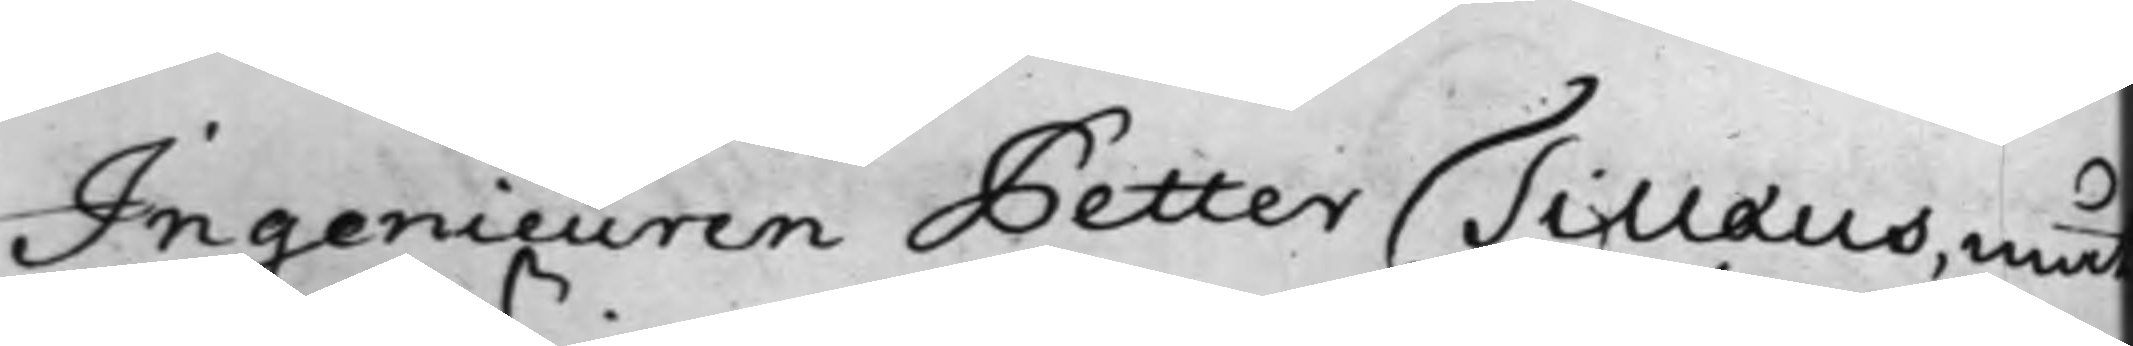Ingenieuren Petter Tillæus, måt¬
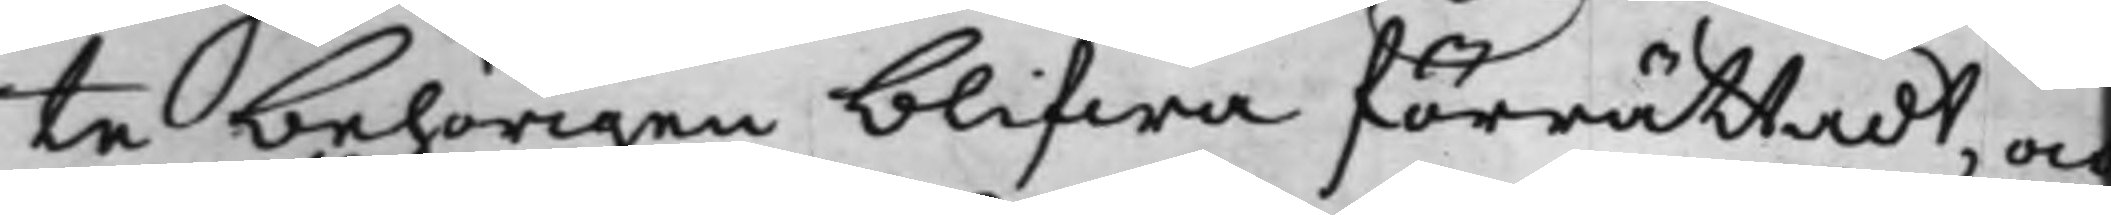te behörigen blifwa förrättadt, och
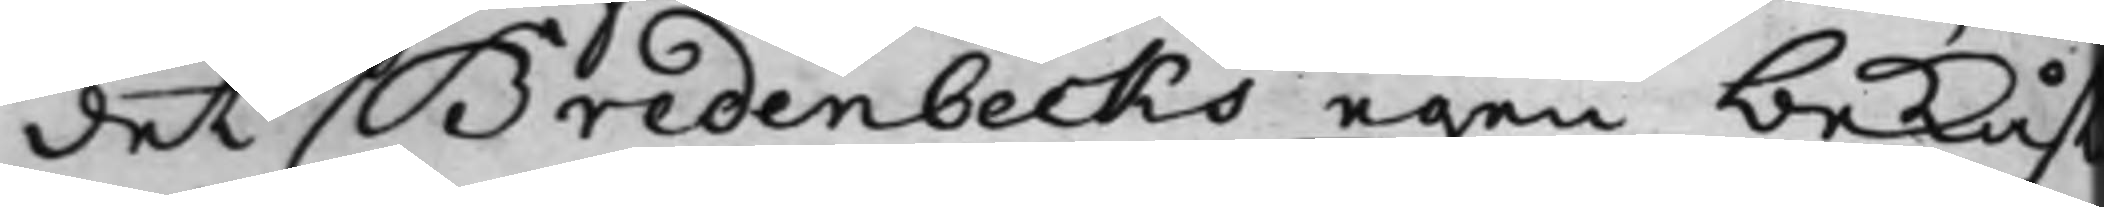det Bredenbecks egen bekåst¬
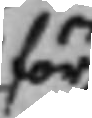för
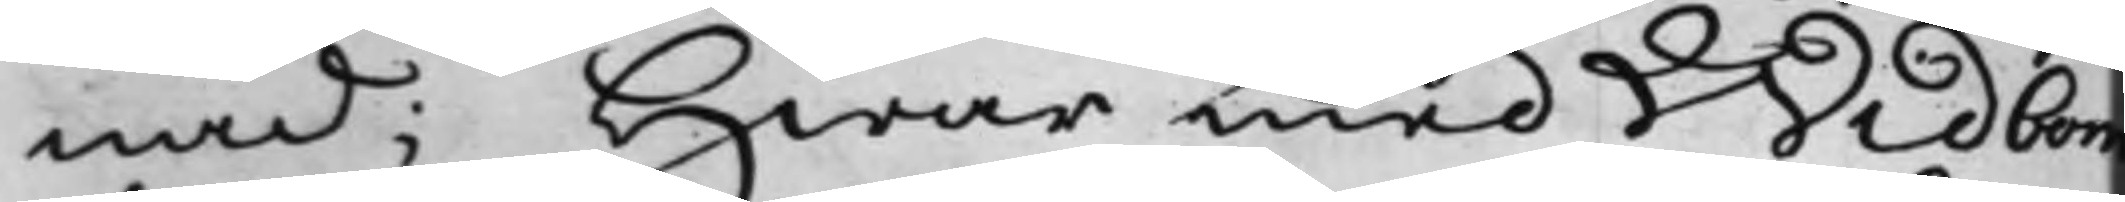nad; Hwar med Widbom
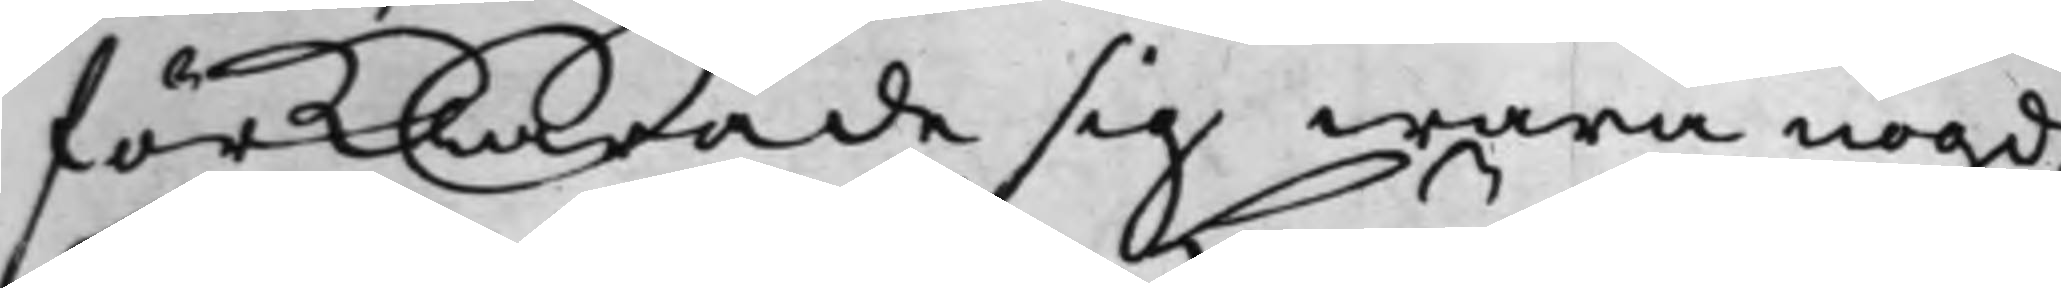förklarade sig wara nögd.
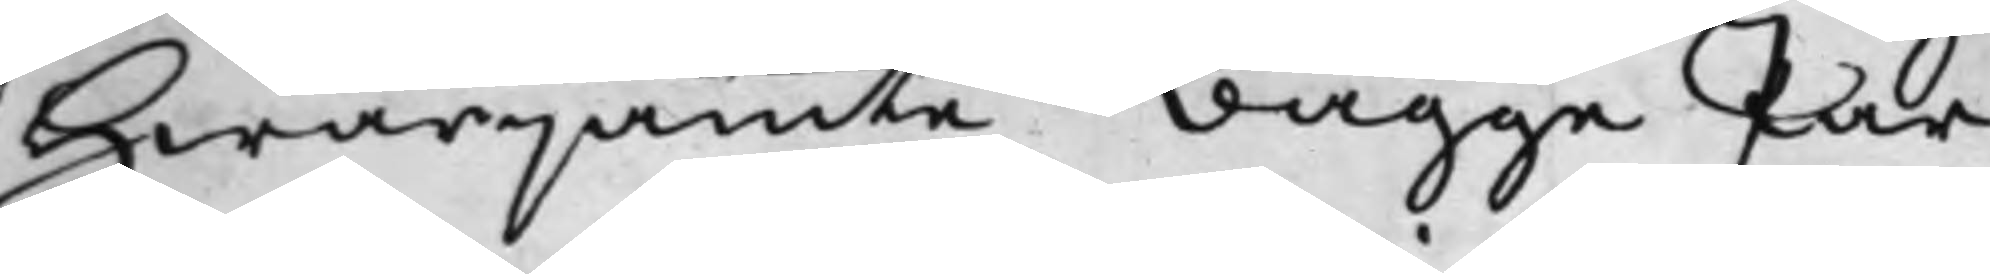Hwarjämte bägge Par¬
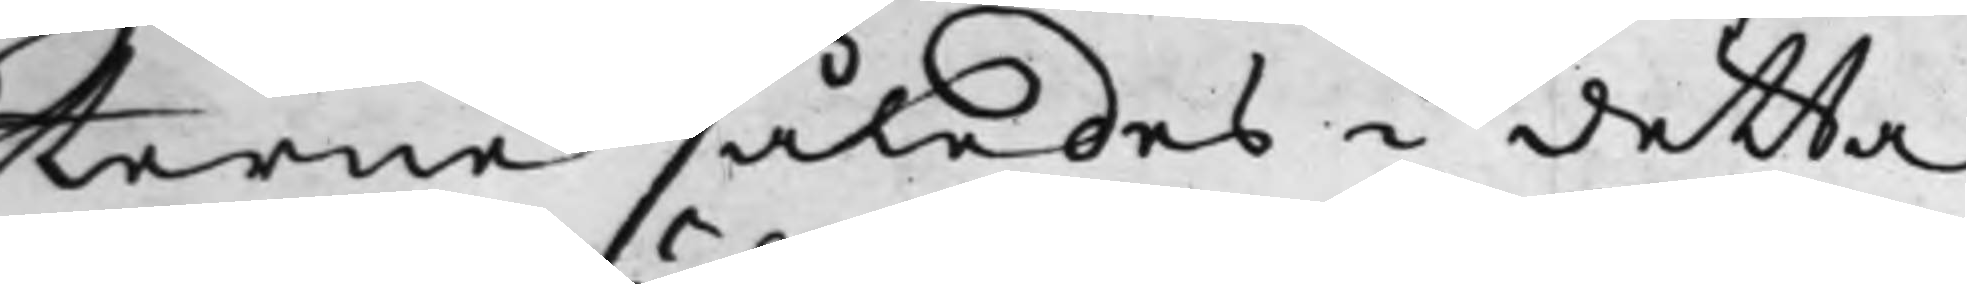terne således i detta
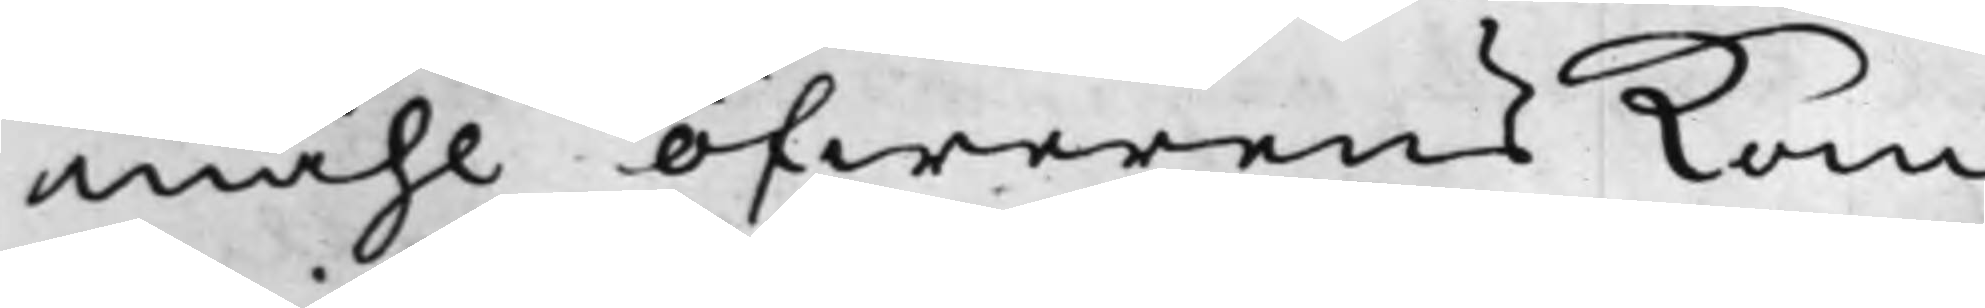måhl öfwerens kom¬
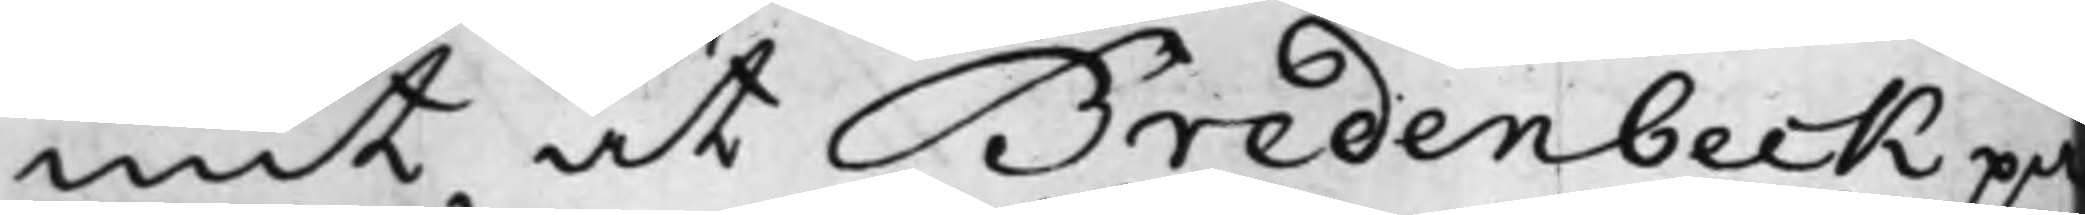mit at Bredenbeck på
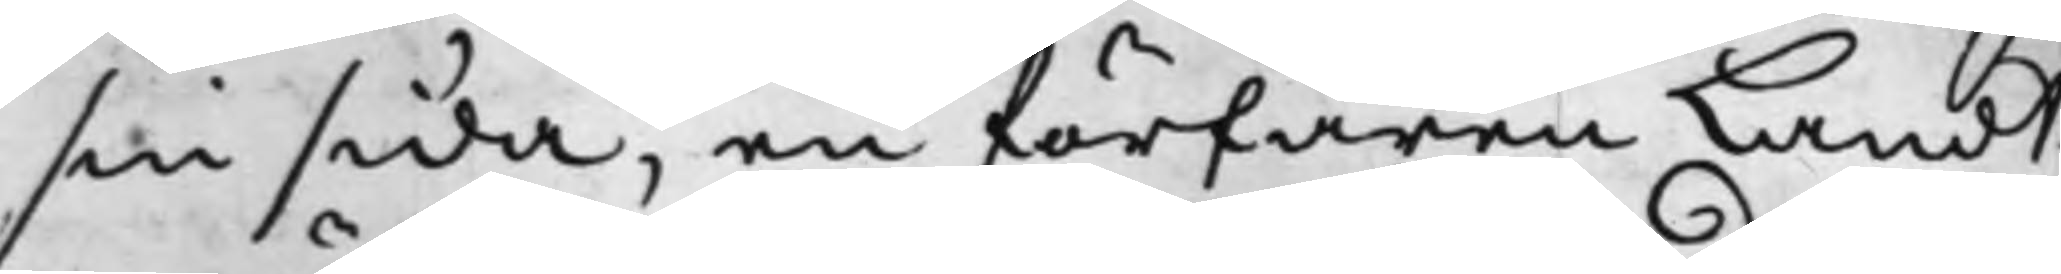sin sida, en förfaren Landt¬
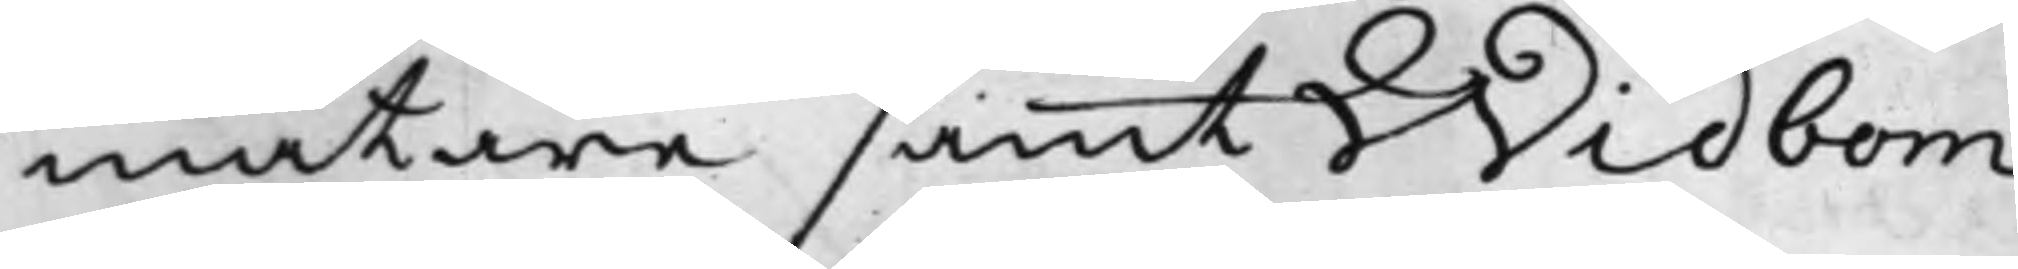mätare samt Widbom
